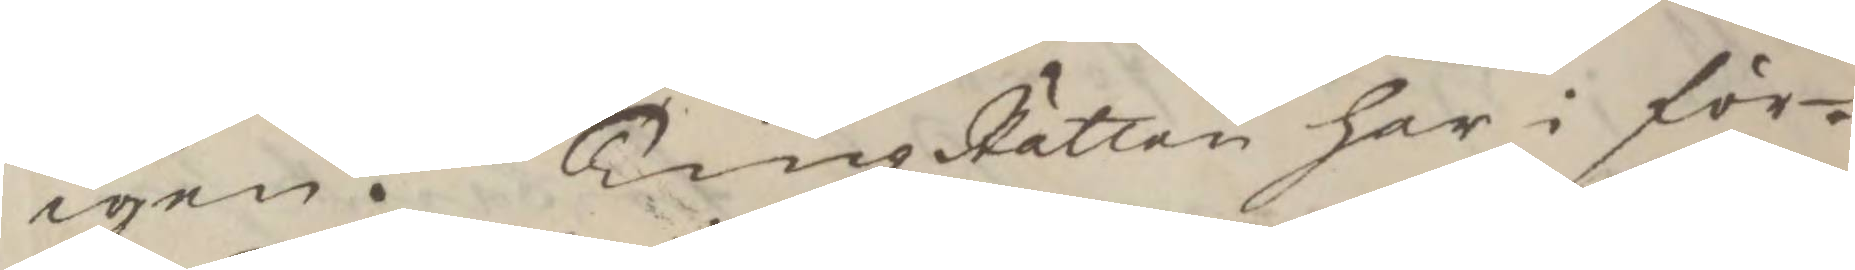igen. TingzRätten har i för¬
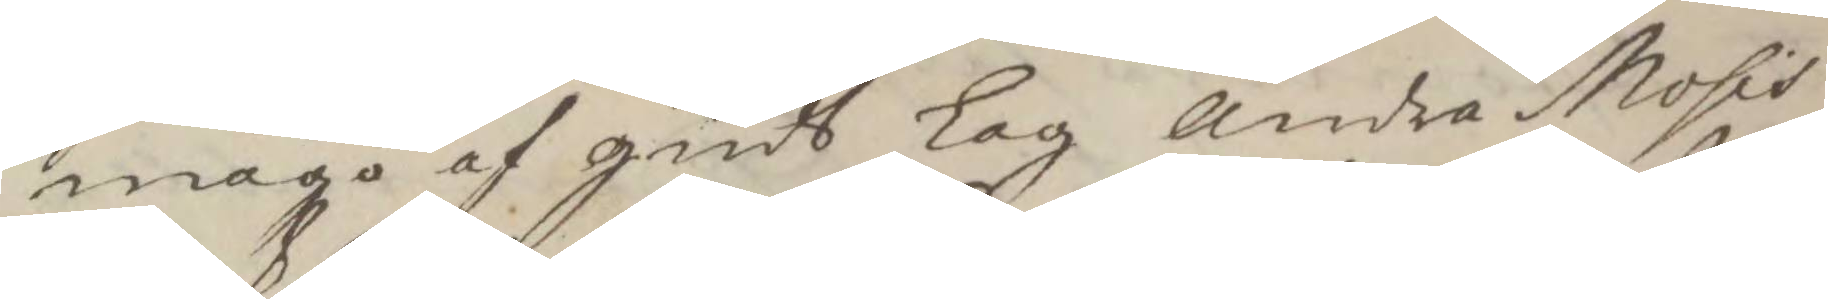mågo af guds Lag Andra Mosis
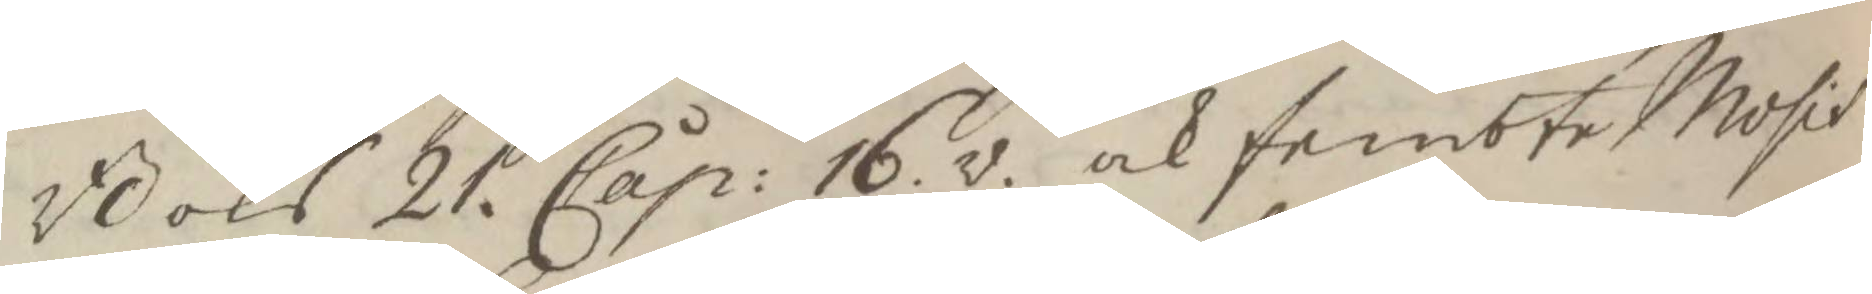Boks 21. Cap: 16. v. och fembte Mosis 
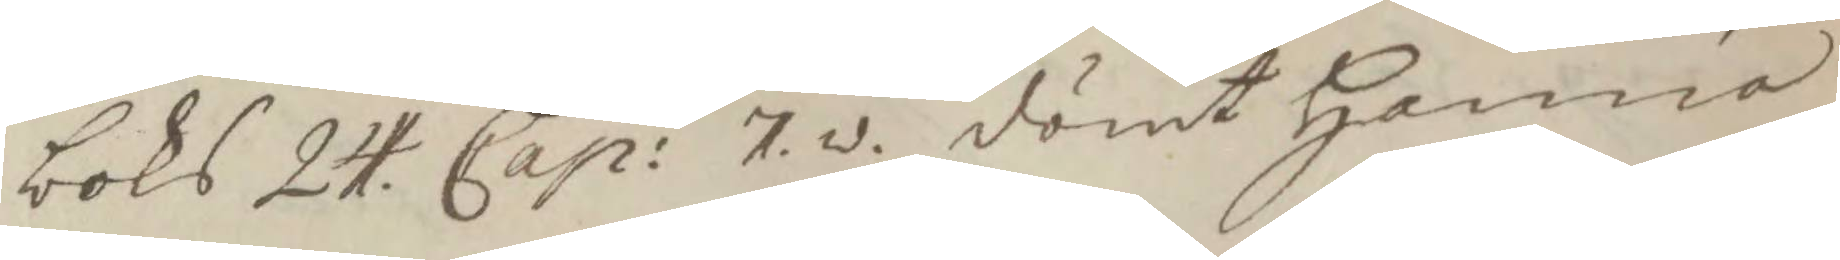boks 24. Cap: 7. v. dömt Hanna 
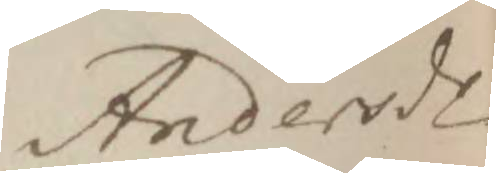Andersdr
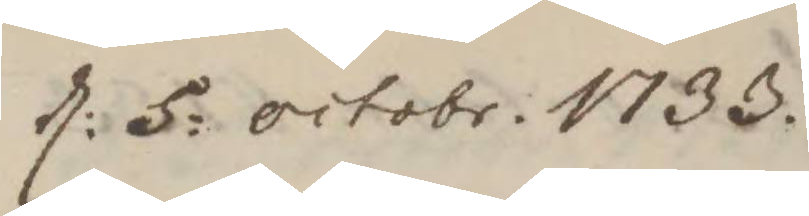d: 5. Octobr. 1733. 
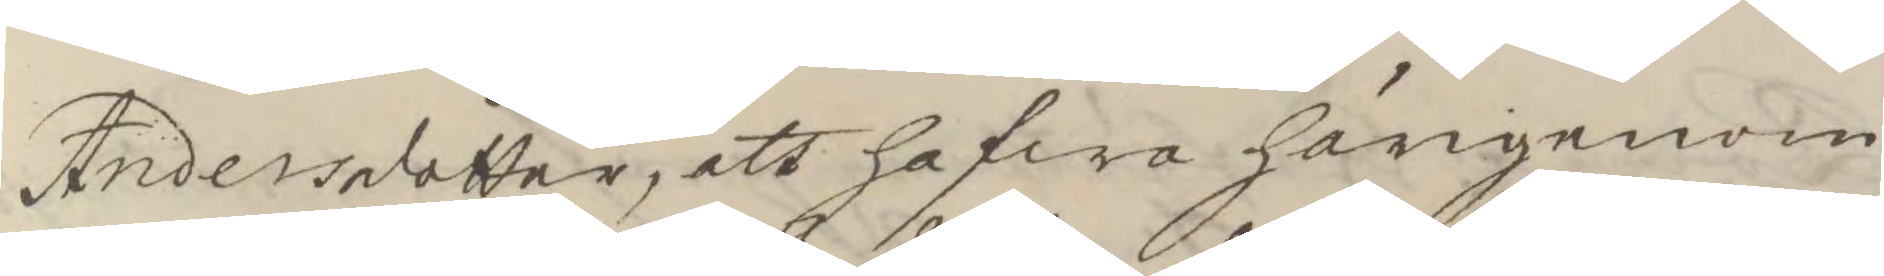Andersdotter, att hafwa härigenom
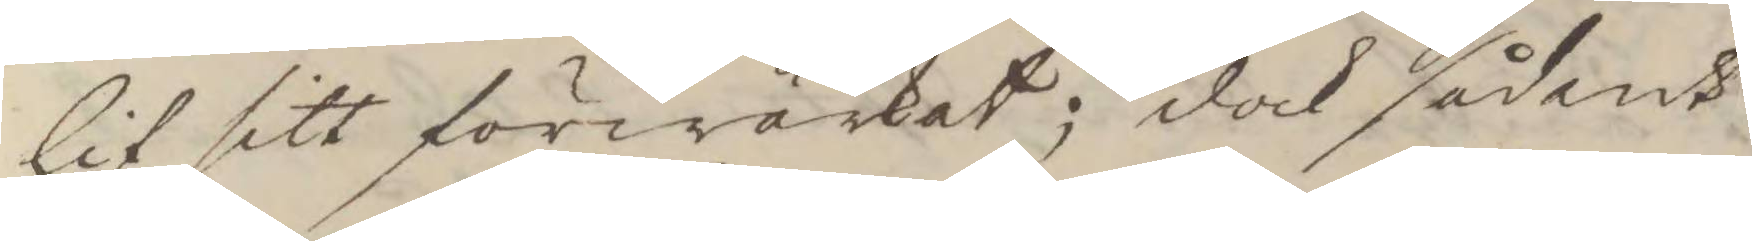lif sitt förwärkat; dock sådant
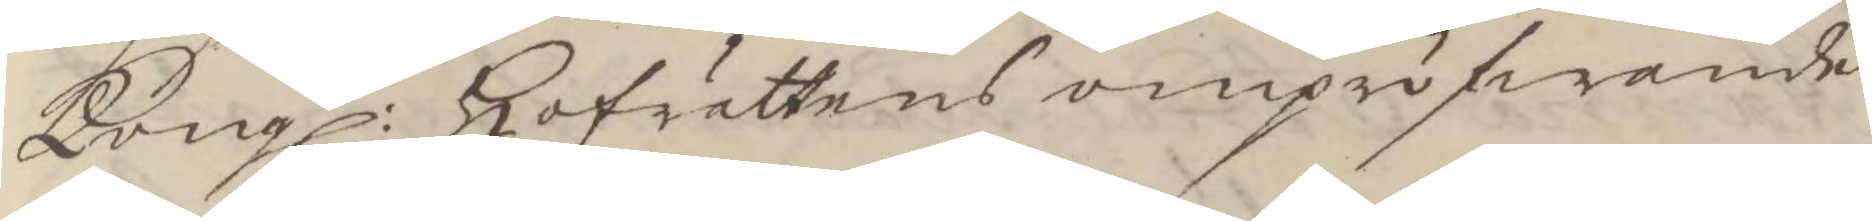Kongl: Hofrättens ompröfwande 
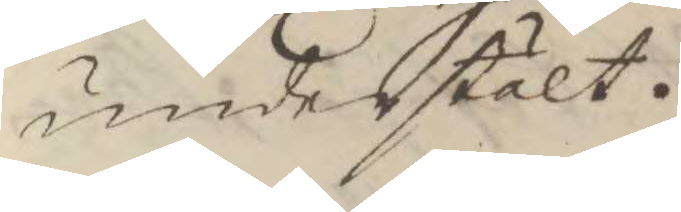understält.
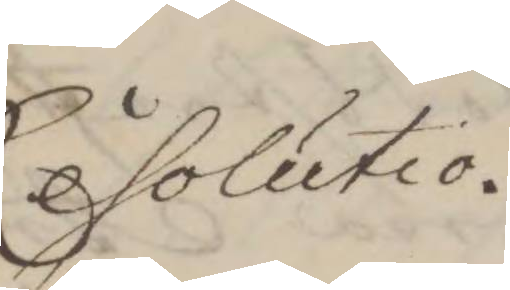Resolutio.
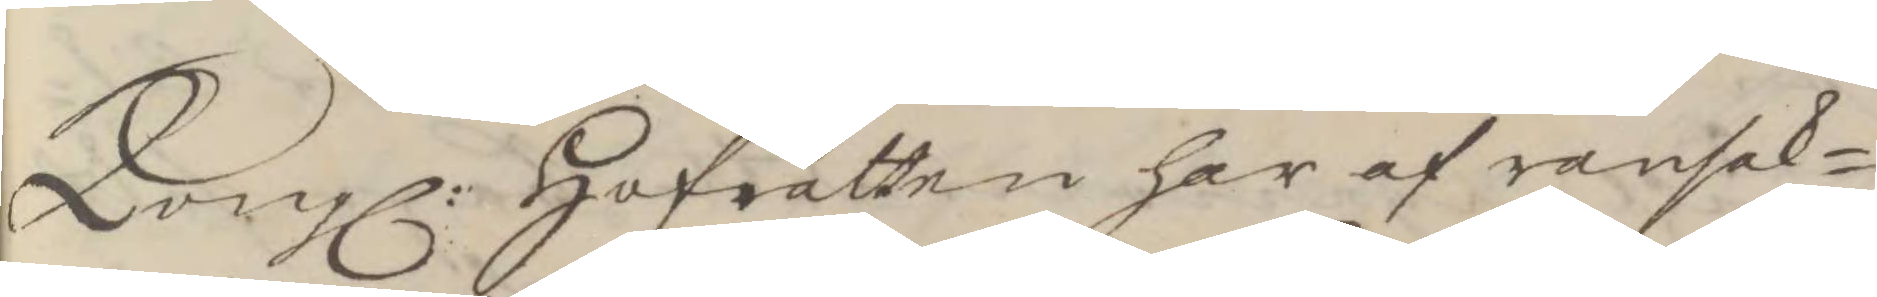Kongl: Hofrätten har af ransak¬ 
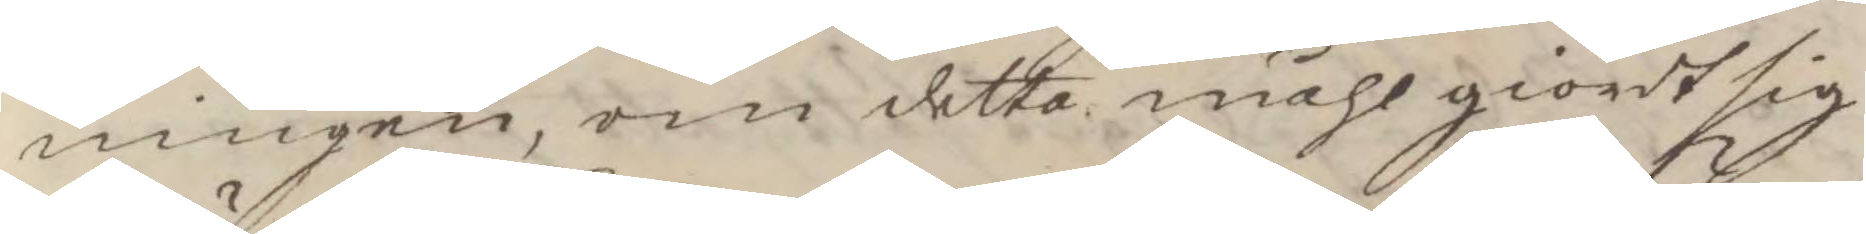ningen, om detta måhl giordt sig
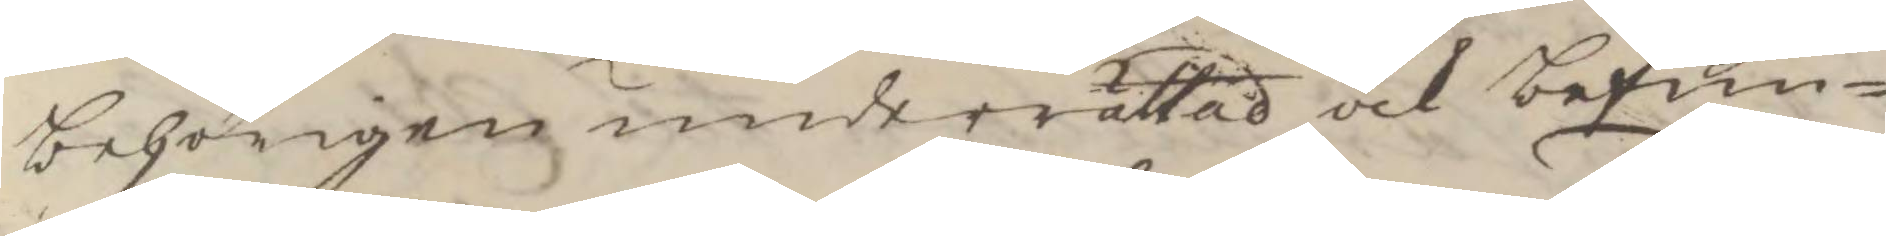behörigen underrättad och befun¬
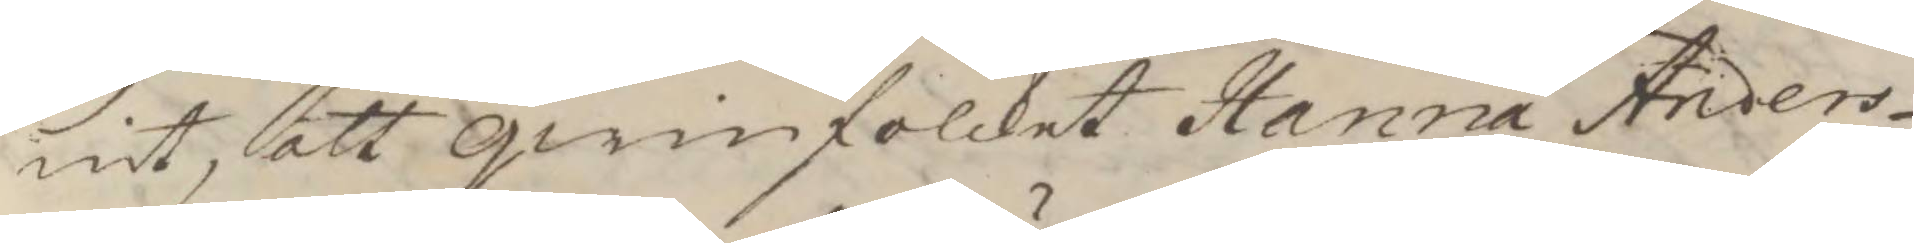nit, att qwinfolcket Hanna Anders¬
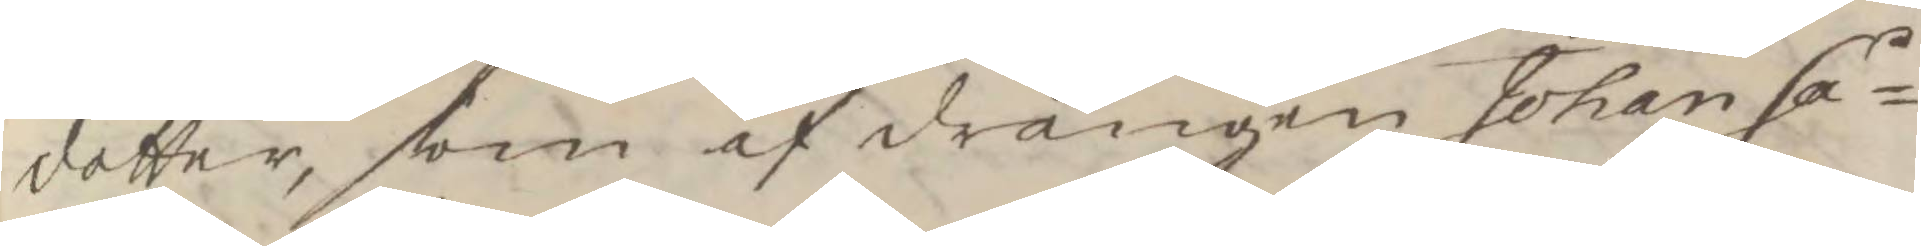dotter, som af drängen Johan Sa¬
